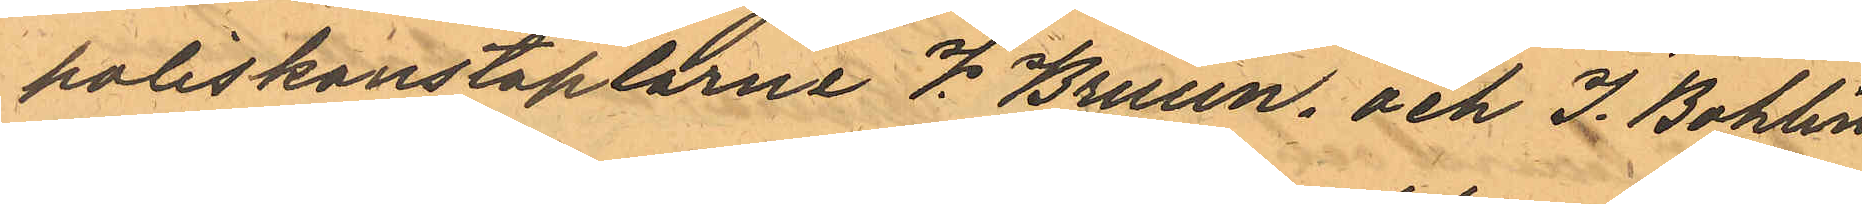poliskonstaplarne V. Bruun, och J. Bohlin
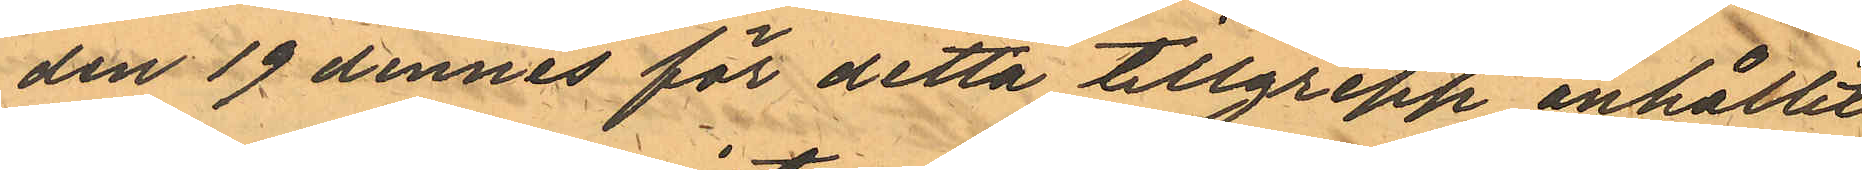den 19 dennes för detta tillgrepp anhållit
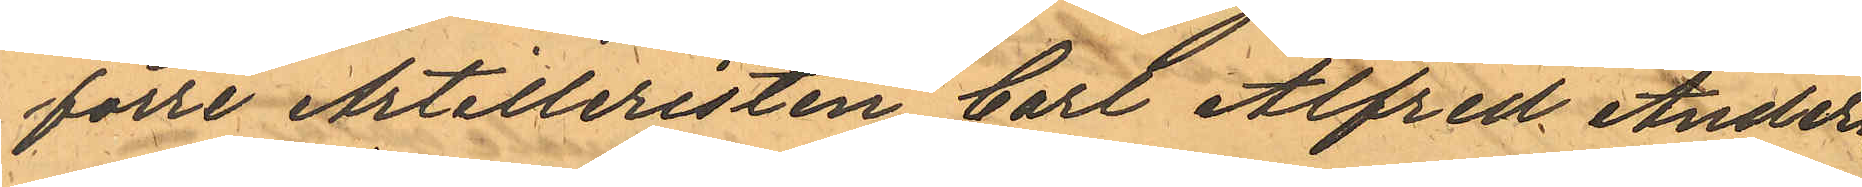förre Artilleristen Carl Alfred Anders¬
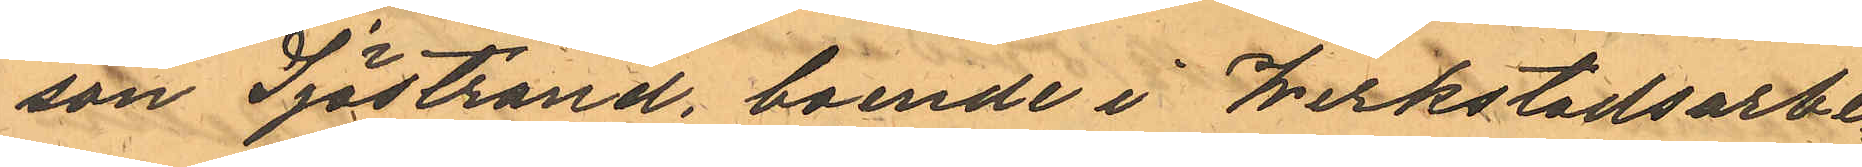son Sjöstrand, boende i Werkstadsarbe¬
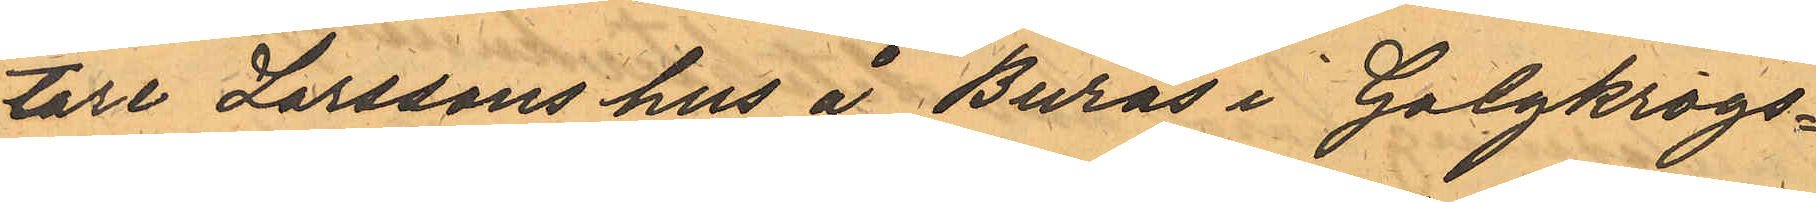tare Larssons hus å Burås i Galgkrogs¬
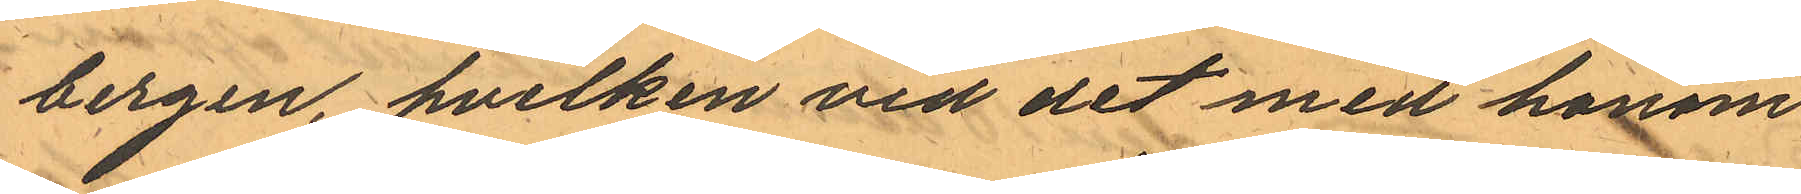bergen, hvilken vid det med honom
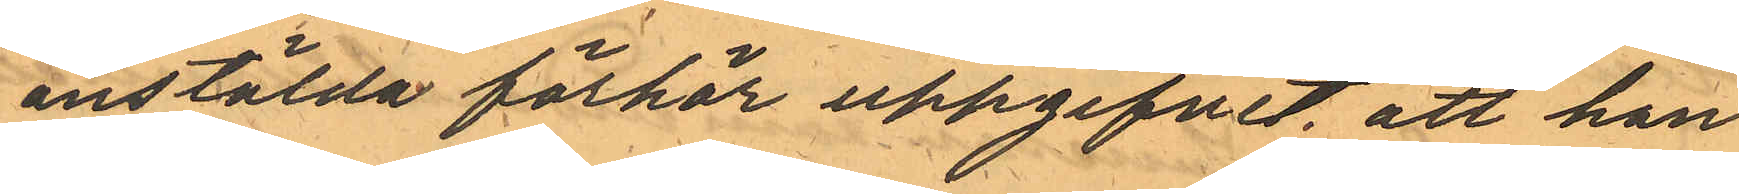anstälda förhör uppgifvit, att han
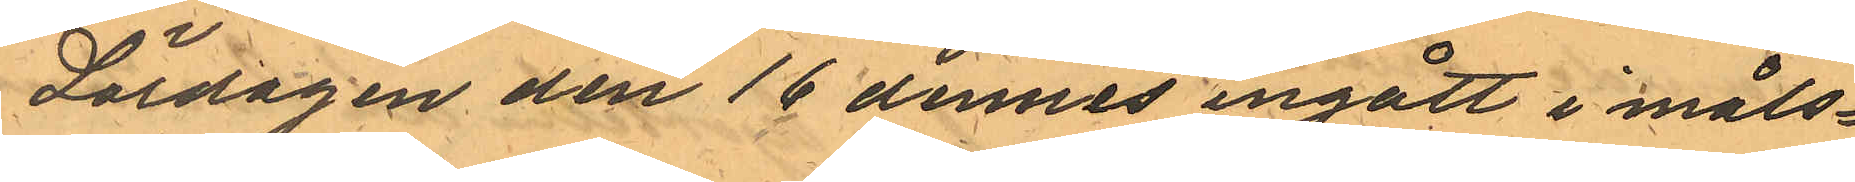Lördagen den 16 dennes ingått i måls¬
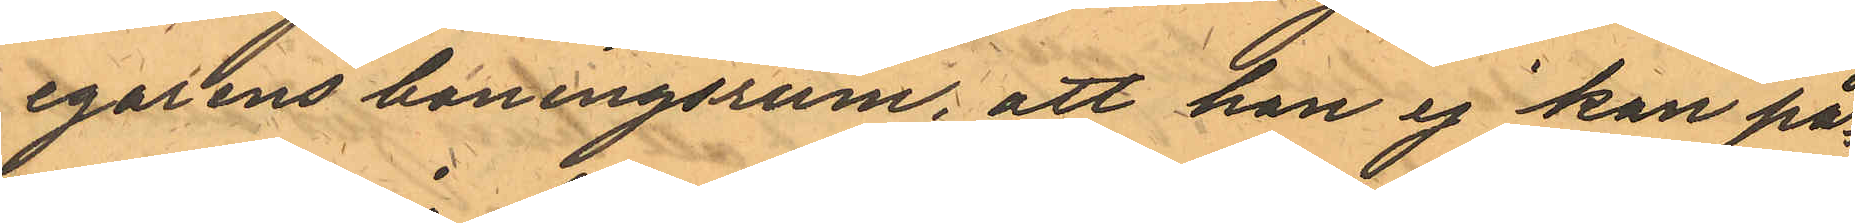egarens boningsrum, att han ej kan på¬
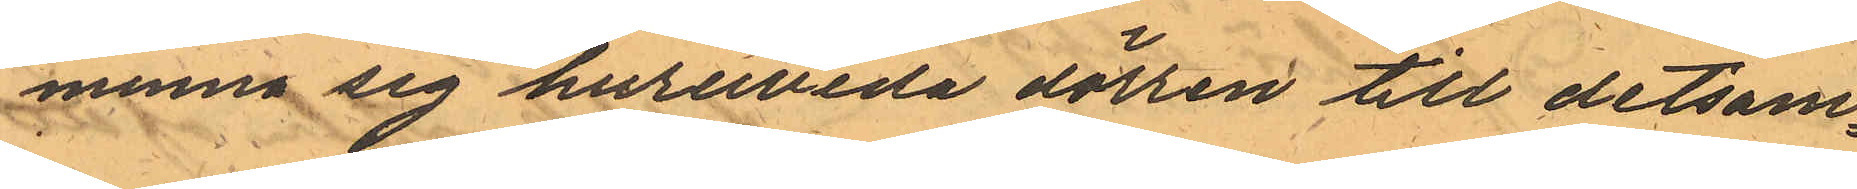minna sig huruvida dörren till detsam¬
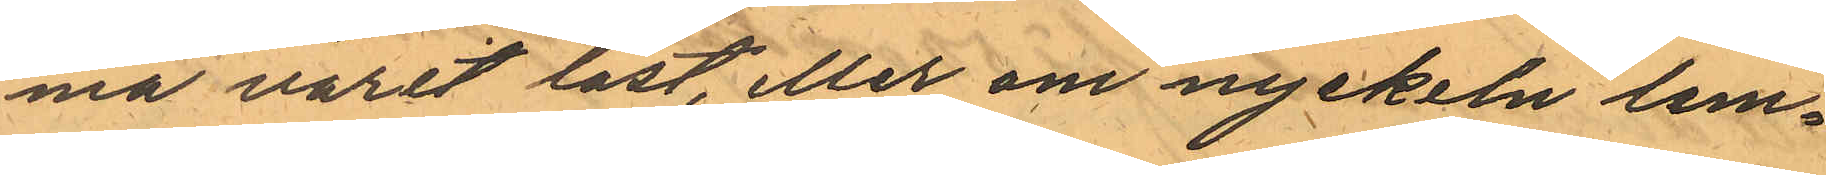ma varit låst, eller om nyckeln lem¬
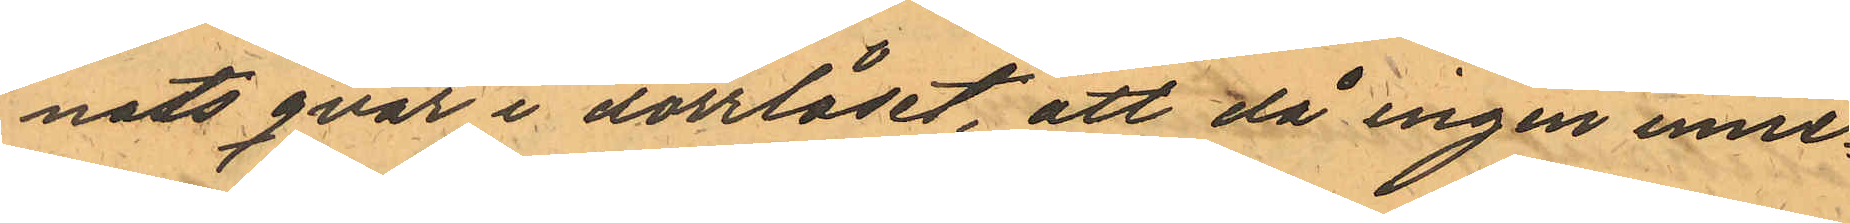nats qvar i dörrlåset, att då ingen inne¬
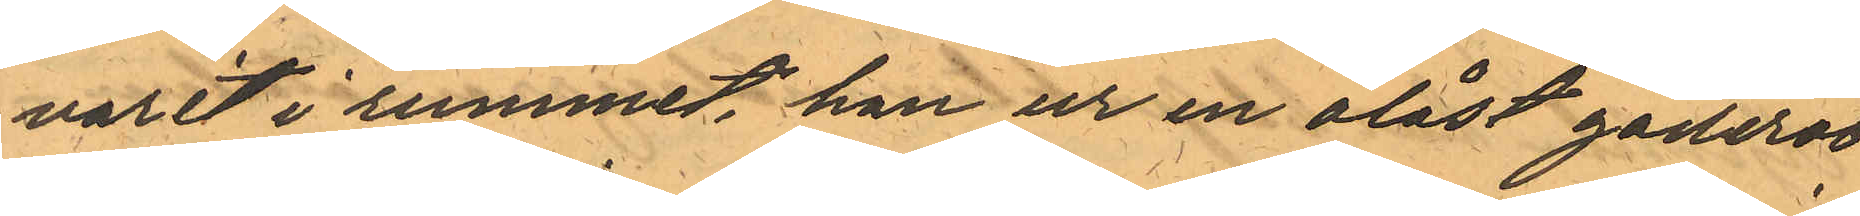varit i rummet han ur en olåst gaderob
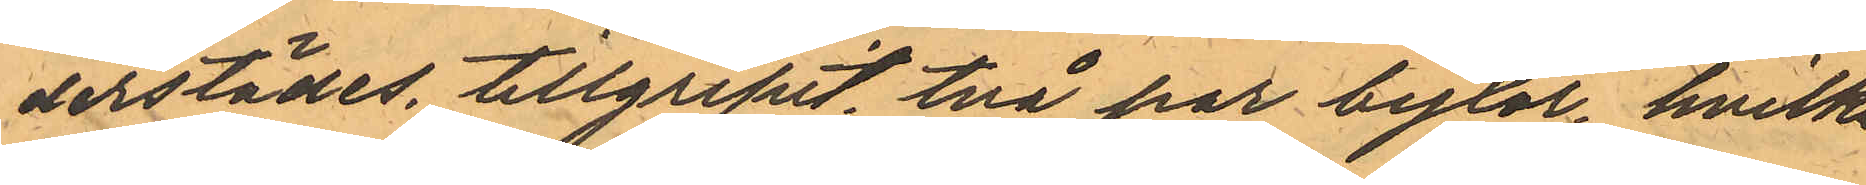derstädes, tillgripit två par byxor, hvilka
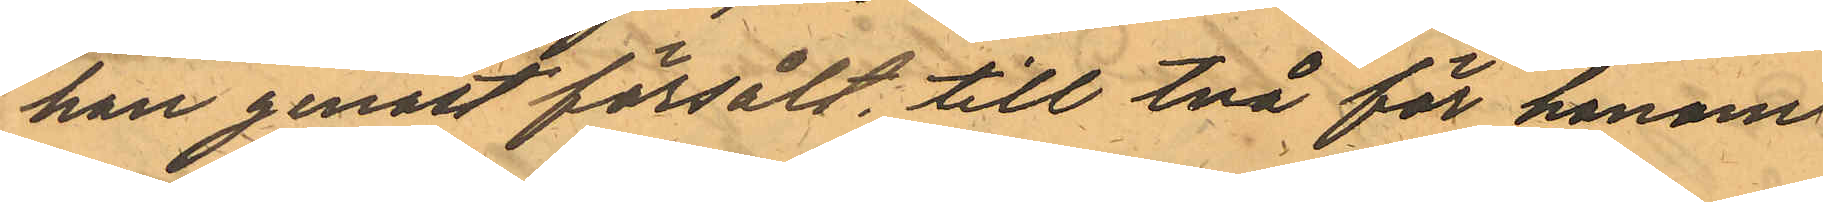han genast försålt, till två för honom
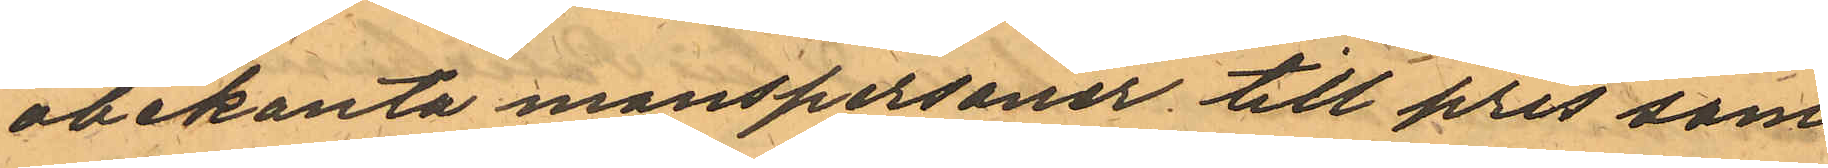obekanta manspersoner till pris som
